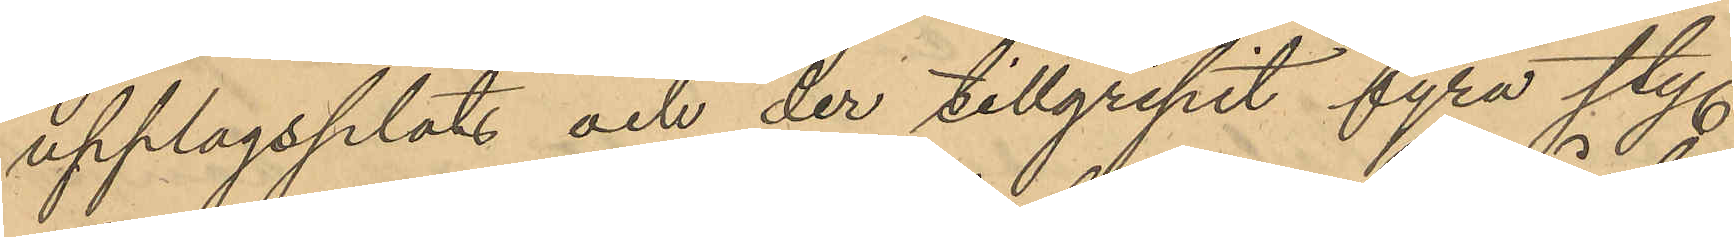upplagsplats och der tillgripit fyra sty.
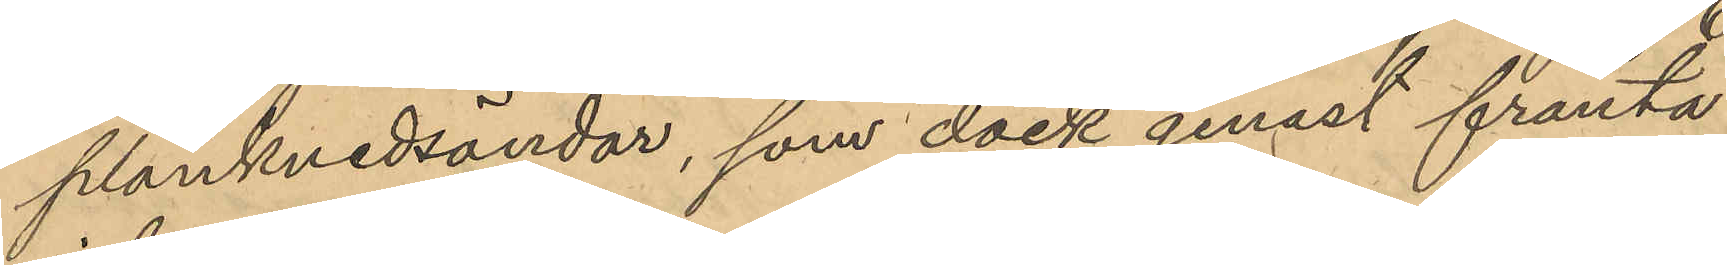plankvedsändar, som dock genast frånta¬
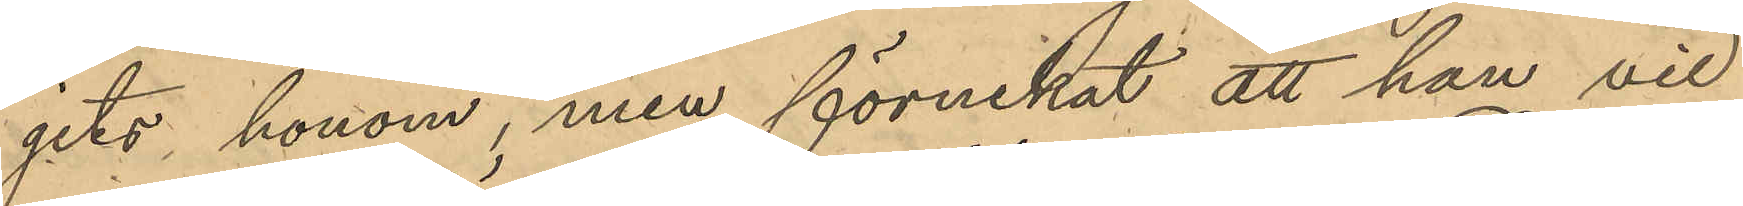gits honom, men förnekat att han vid
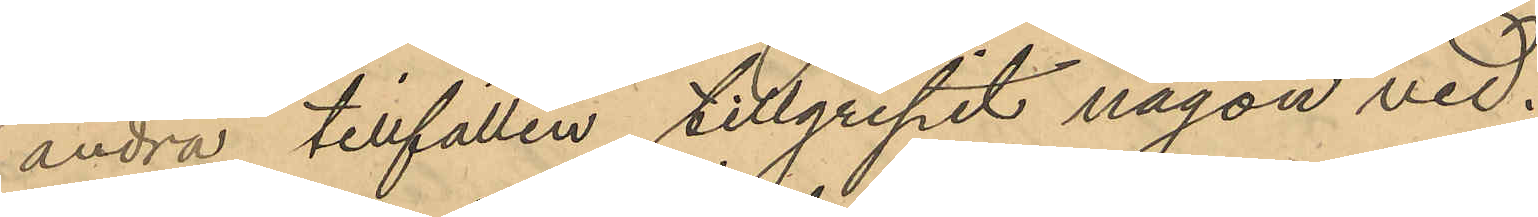andra tillfällen tillgripit någon ved.
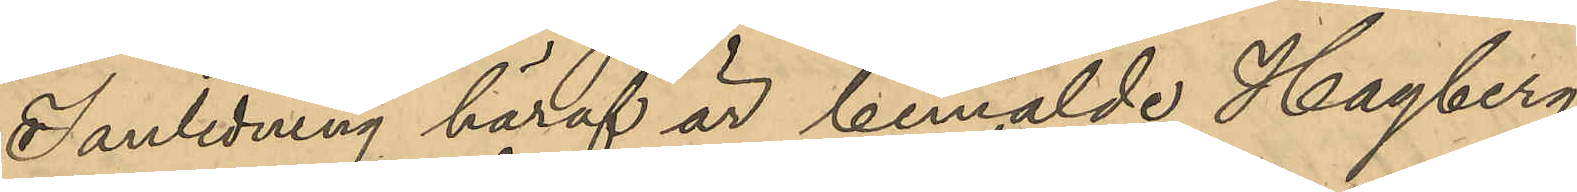I anledning häraf är bemälde Hagberg
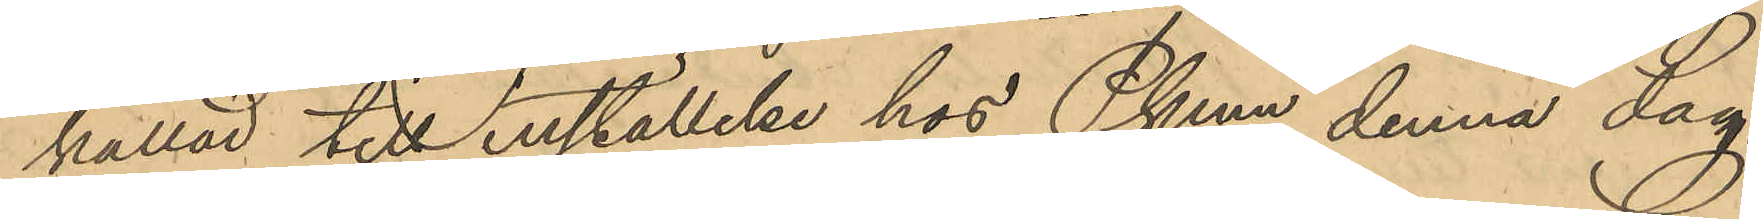kallad till inställelse hos Pkmn denna dag.
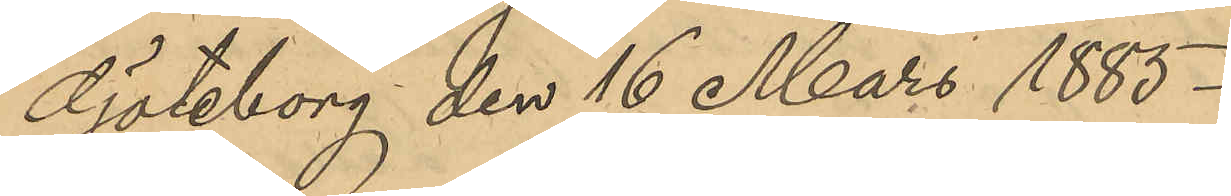Göteborg den 16 Mars 1885.
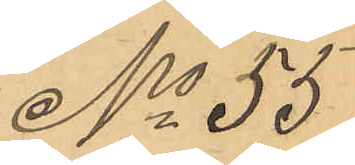No 55
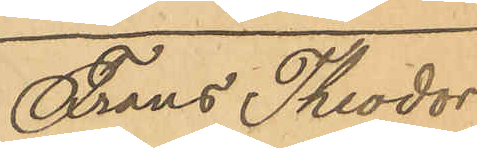Frans Theodor
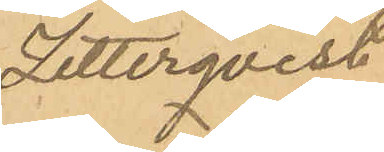Zetterqvist
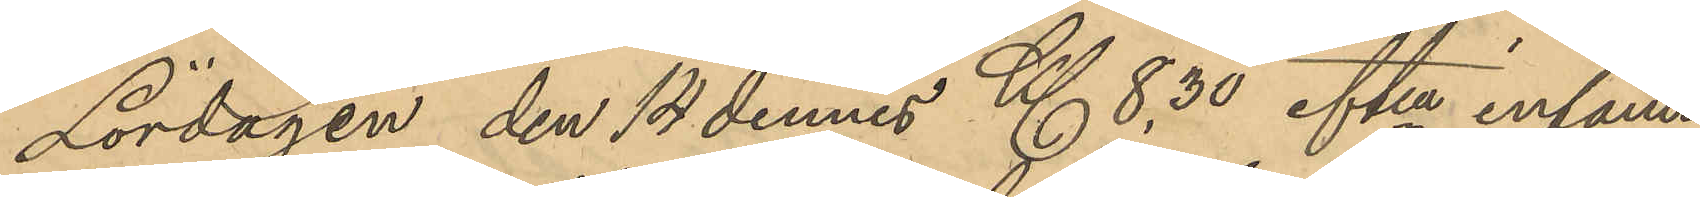Lördagen den 14 dennes Kl. 8,30 eftm infann
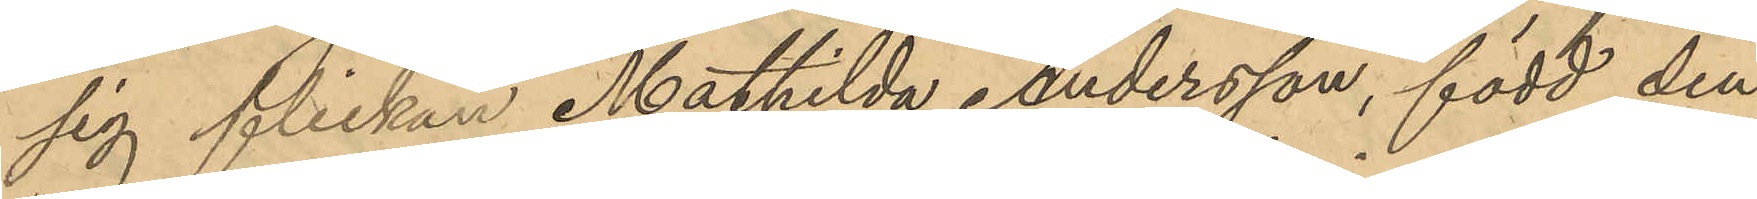sig flickan Mathilda Andersson, född den
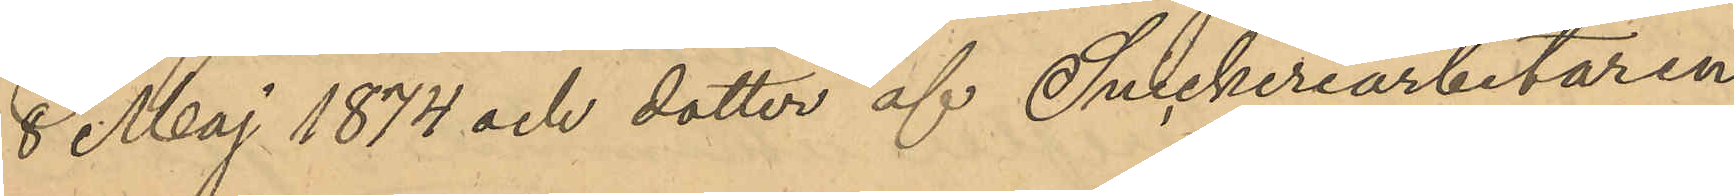8 Maj 1874 och dotter af Snickeriarbetaren
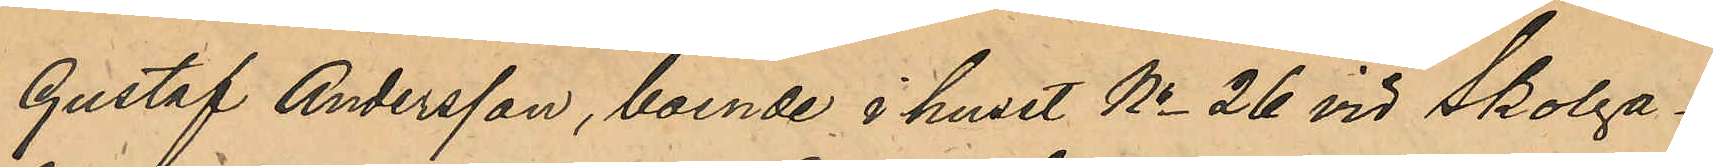Gustaf Andersson, boende i huset No 26 vid Skolga¬
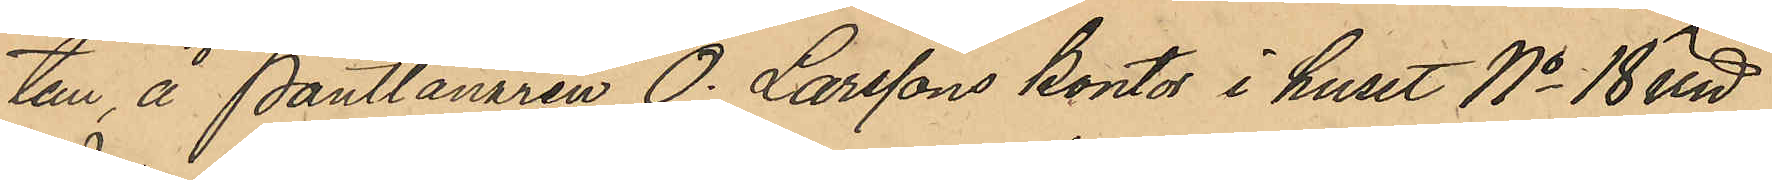tan, å Pantlånaren O. Larssons kontor i huset No 18 vid
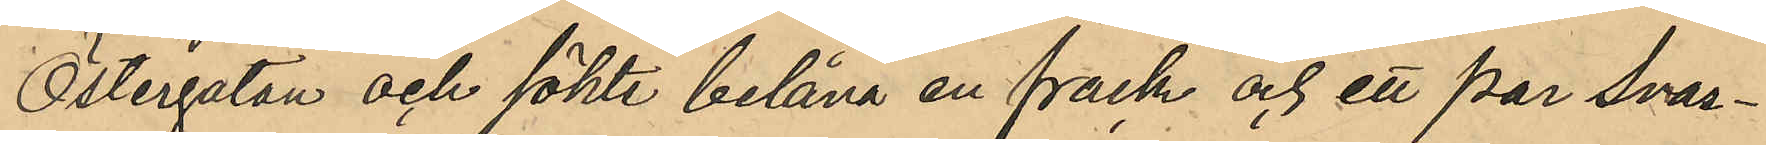Östergatan och sökte belåna en frack och ett par svar¬
